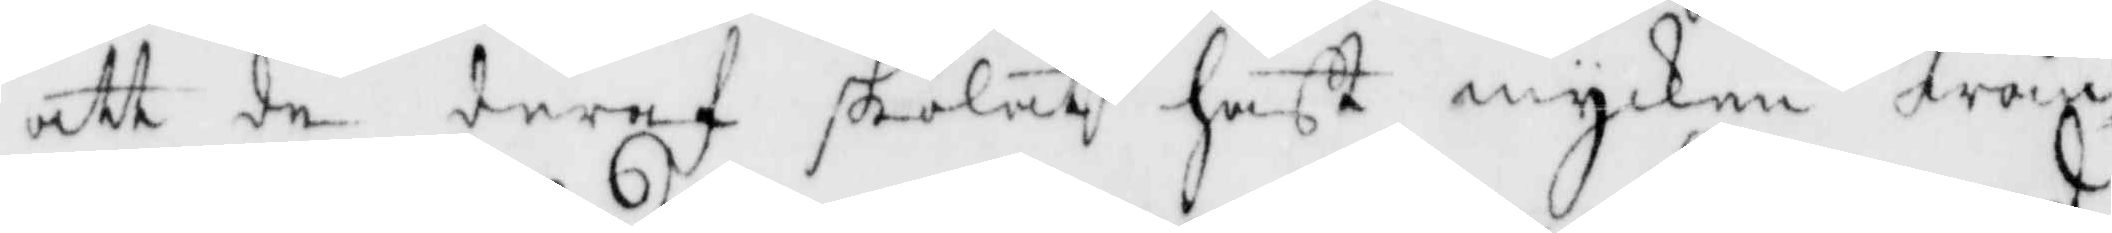att de deraf skolat haft mycken wån¬
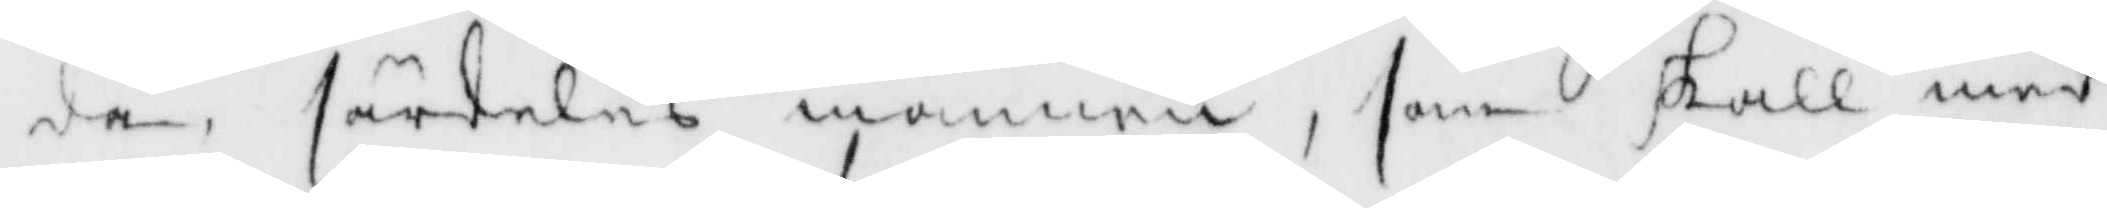da, särdeles mannen, som skall med
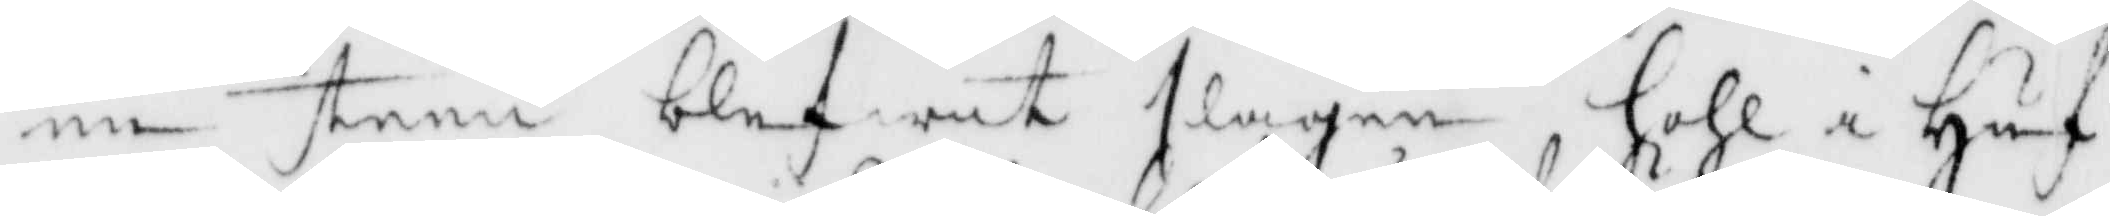en steen blifwit slagen hohl i Guf¬
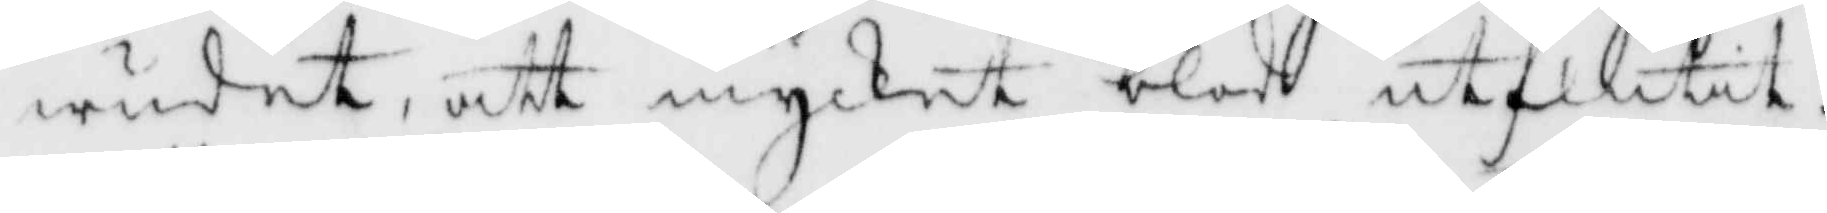wudet, att mycket blod utflutit.
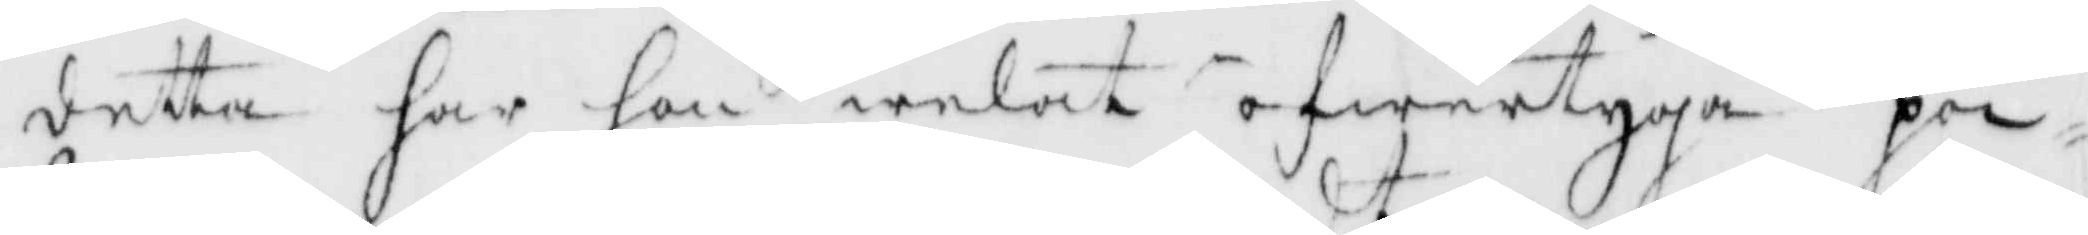detta har han welat öfwertyga poi¬
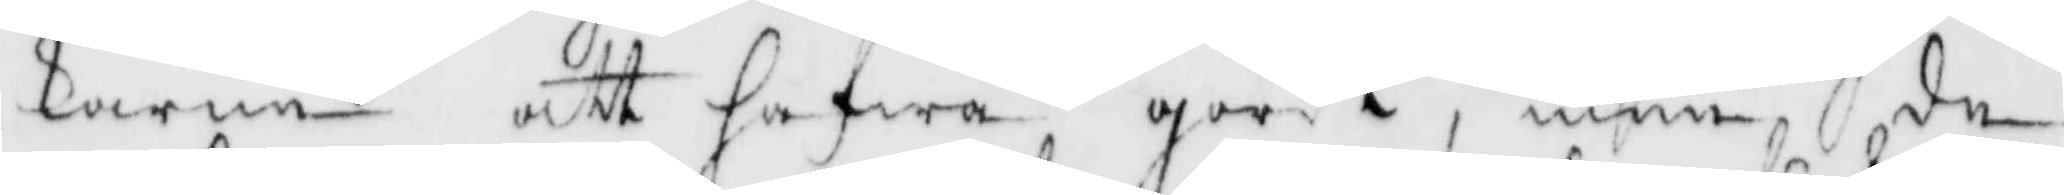karne att hafwa gordt, men de
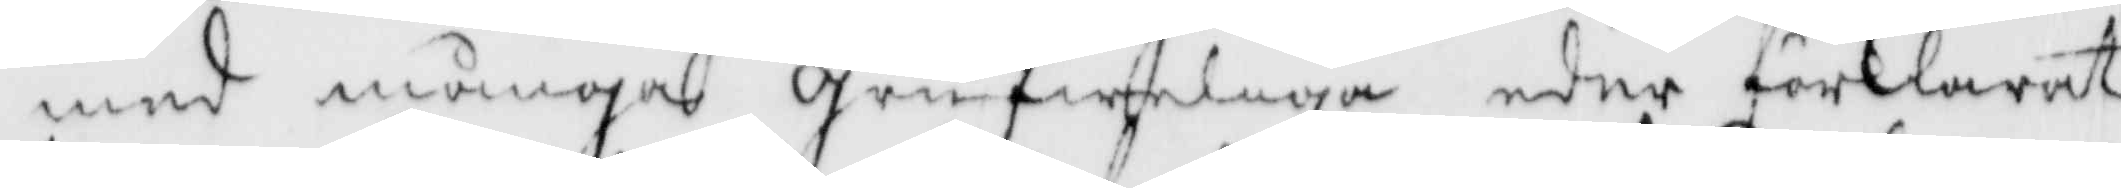med många grufweliga eder förklarat
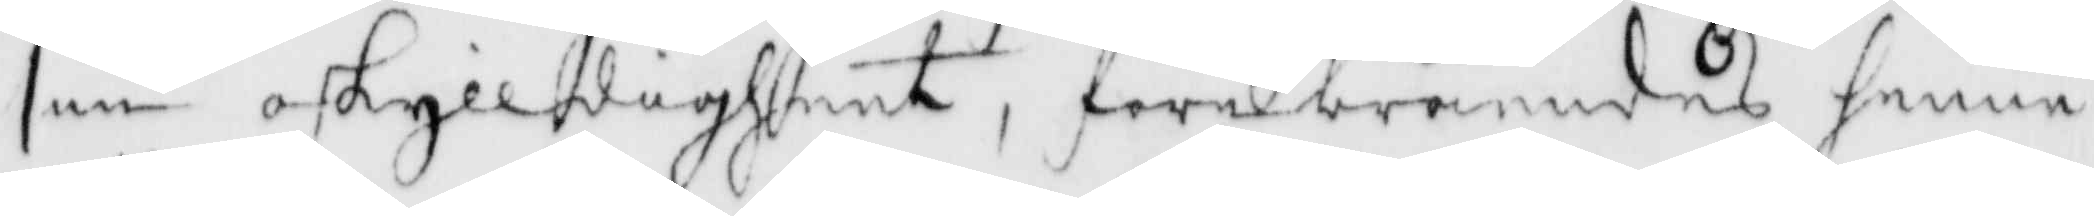sin oskylldigheet, förebråendes henne
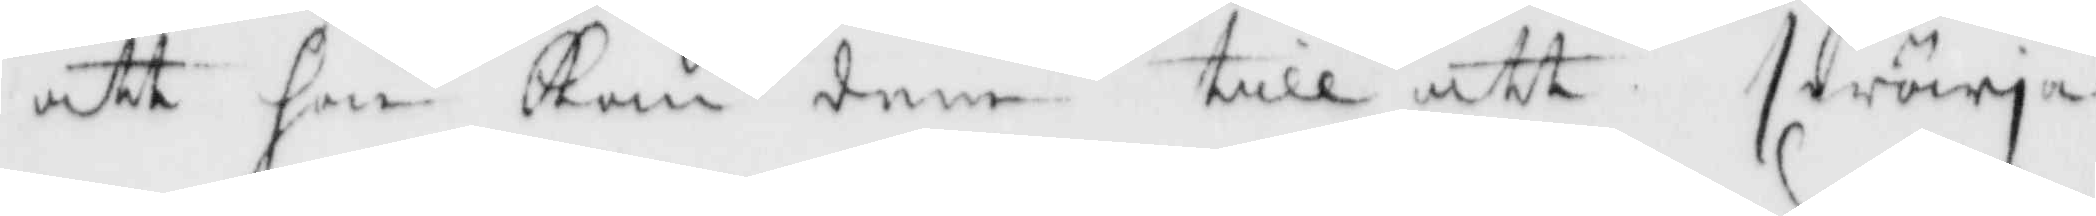att hon kom dem till att swärja
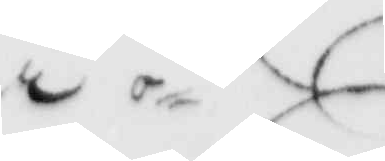i
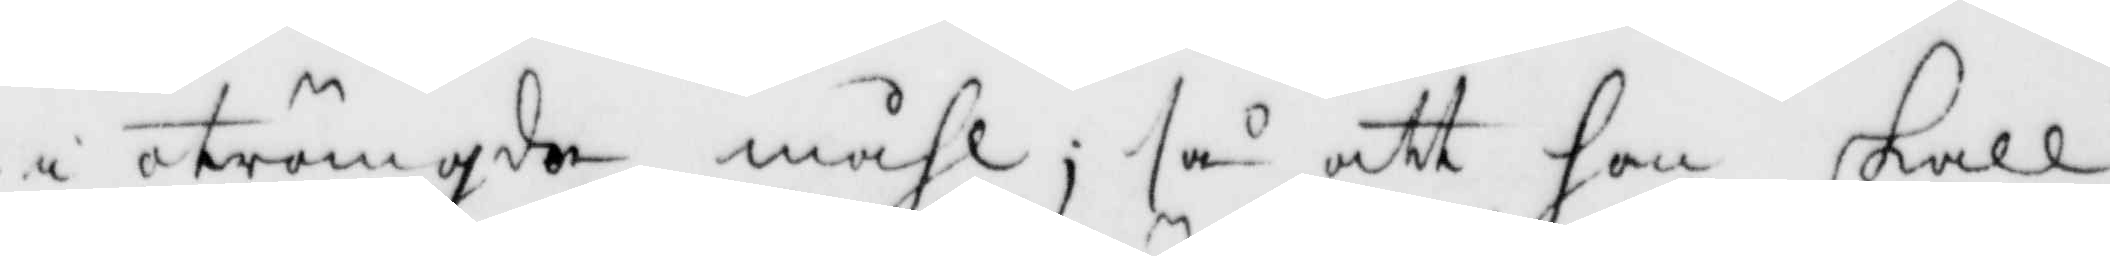i oträngda måhl; så att hon skall
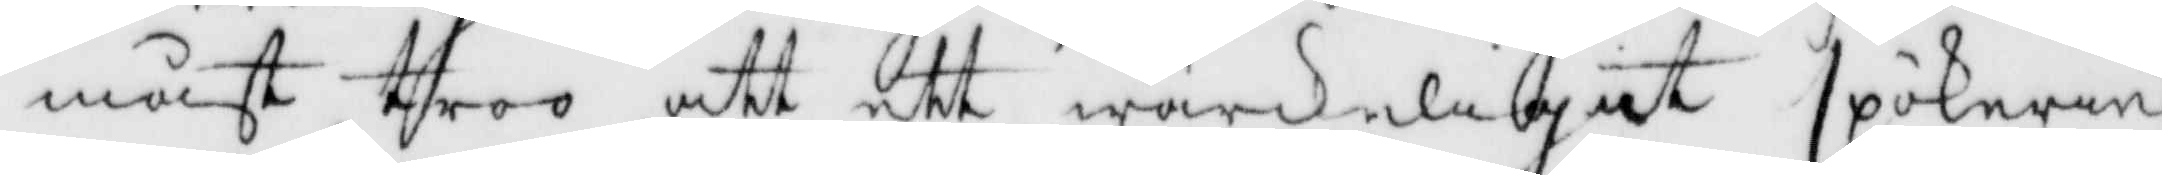måst troo att ett wärkeliget spökerie
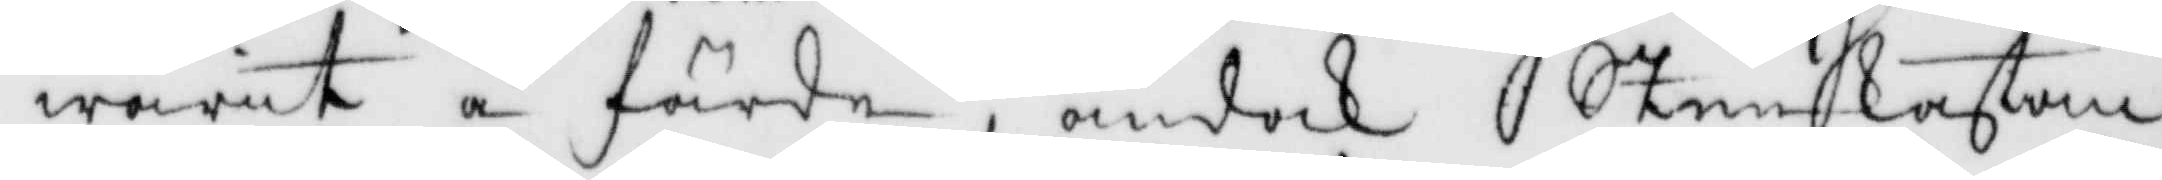warit å färde, ändock Steenkastan¬
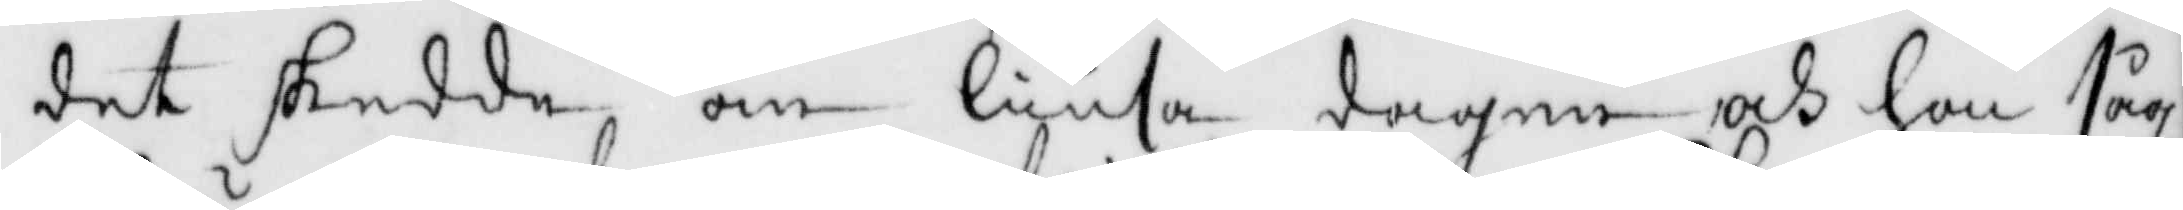det skedde om liusa dagen och on såg
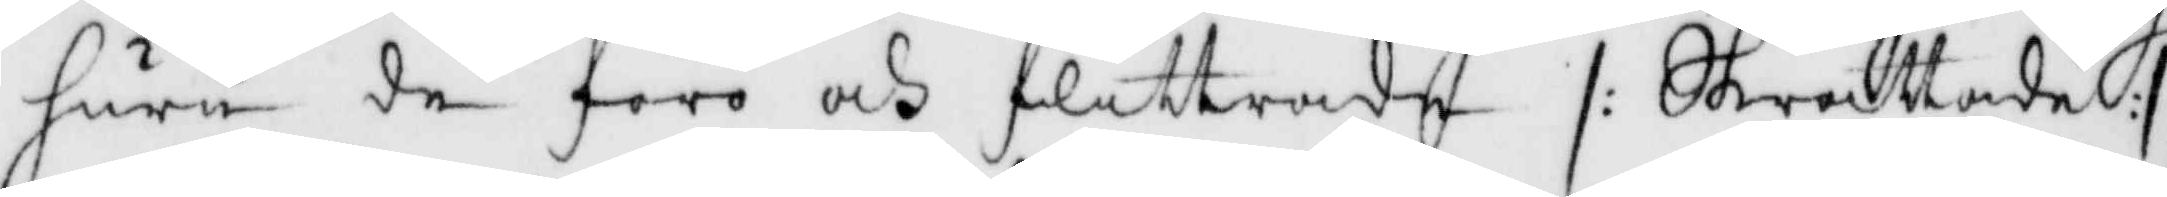huru de foro och flittrade /: Skrattade :/
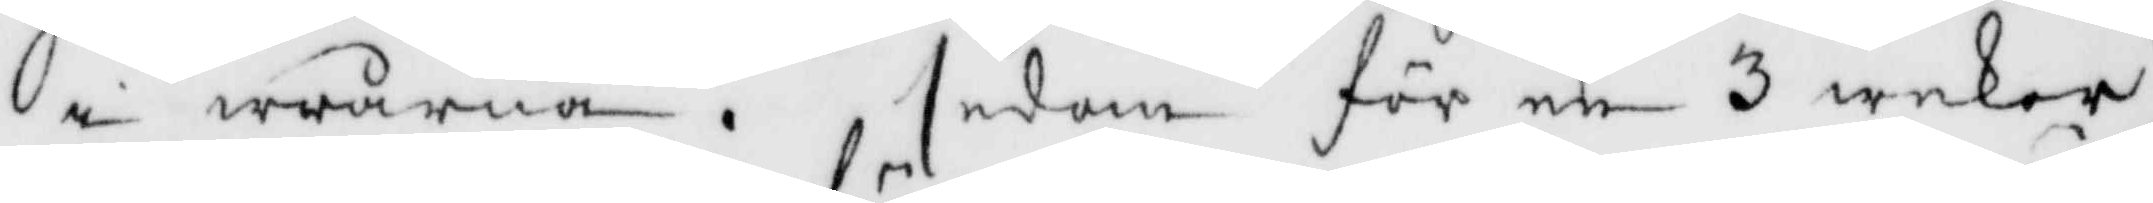i wrårna, sedan för en 3 wekor
